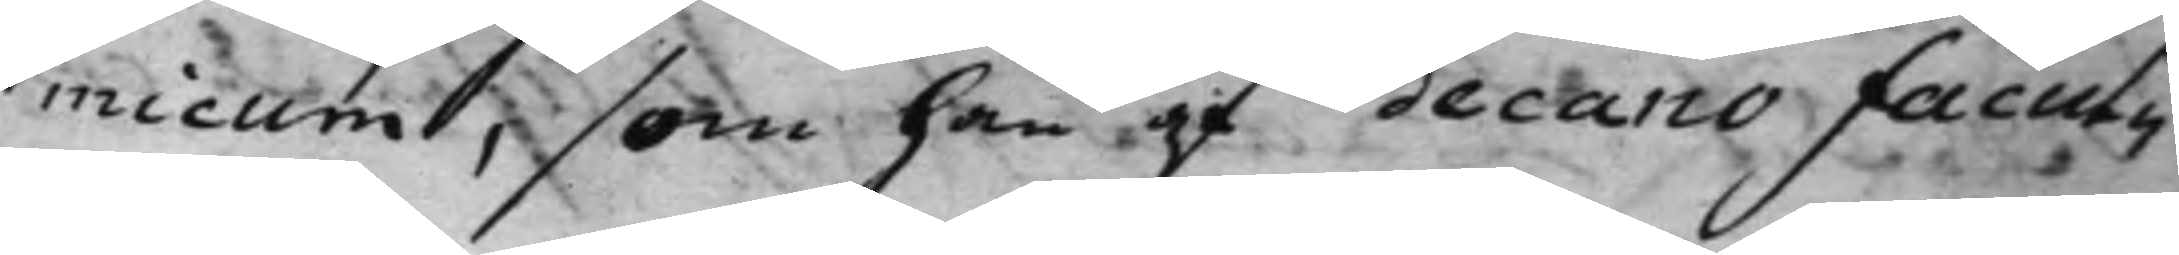micum, som han af decano facul¬
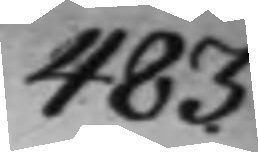483.
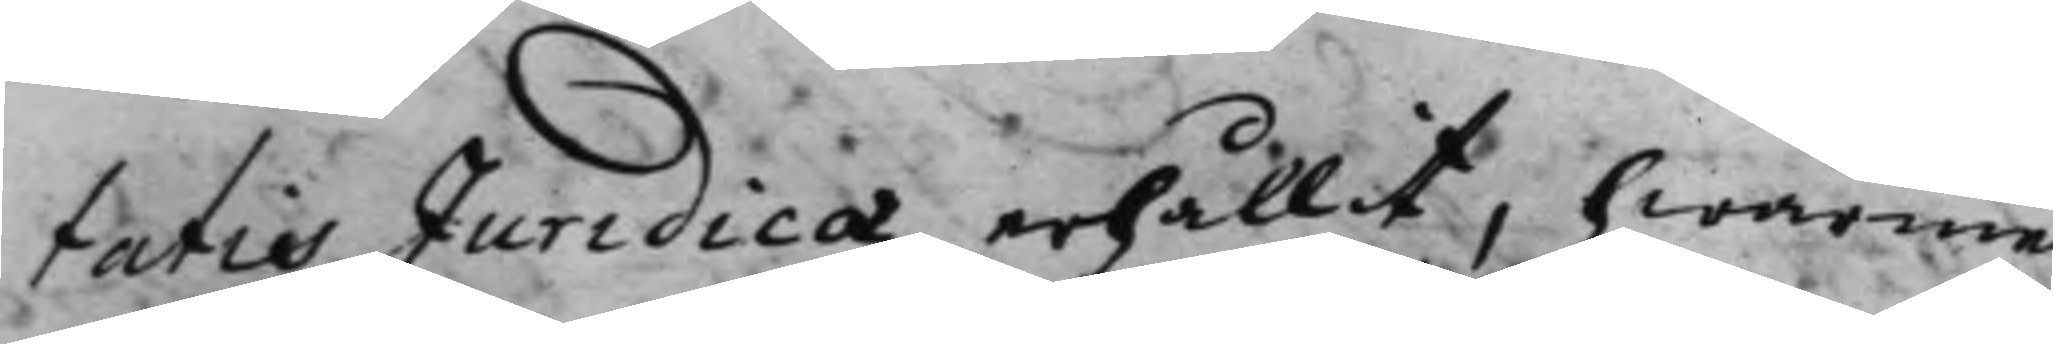tatis Jurdicæ erhållit, hwarme¬
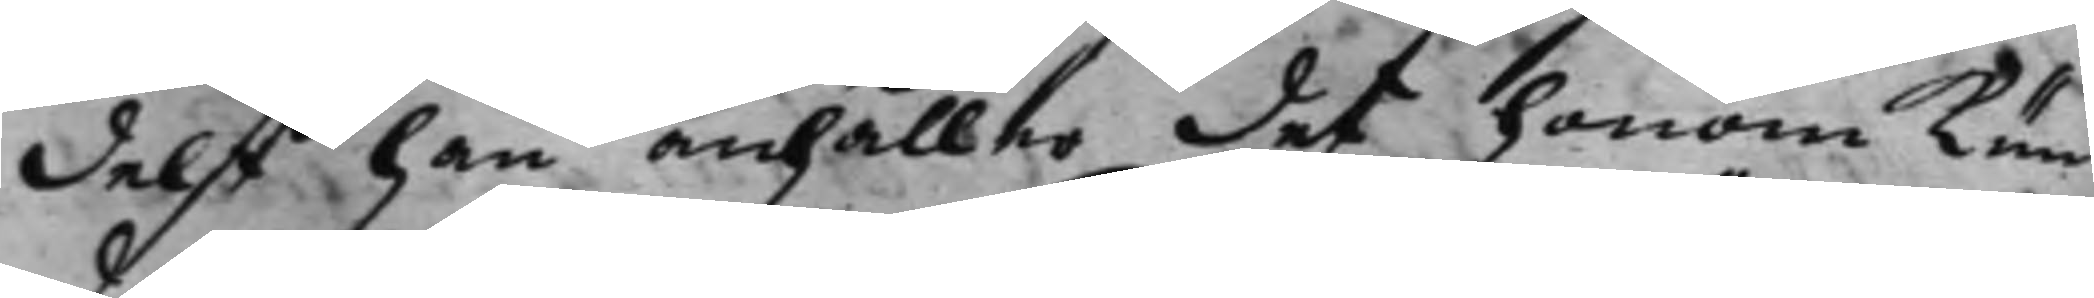delst han anhåller det honom kun¬
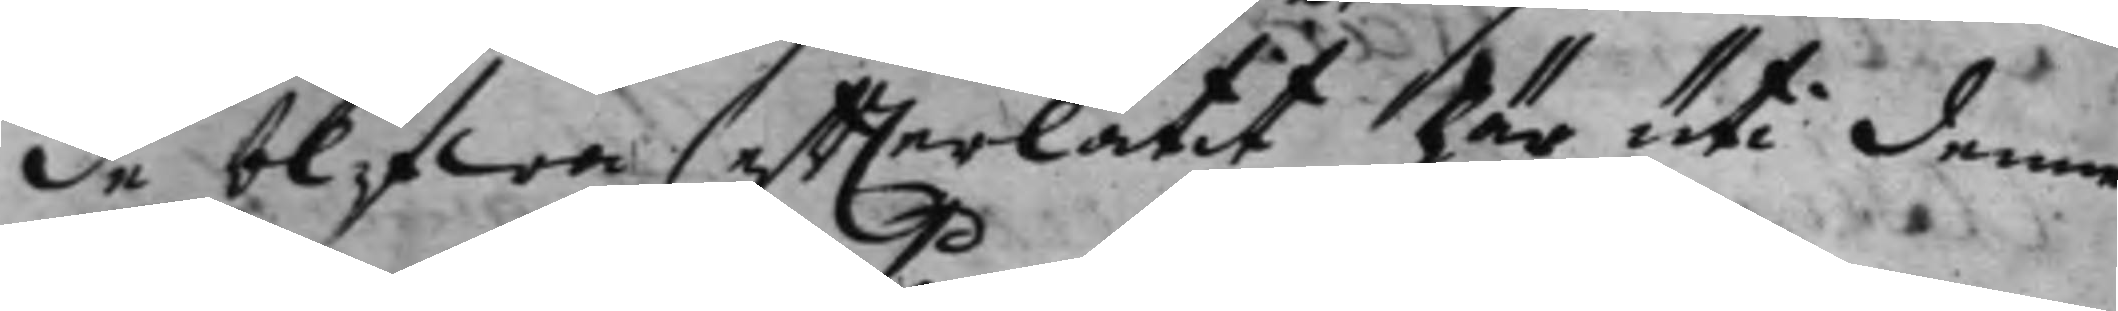de blifwa efterlåtit här uti denne
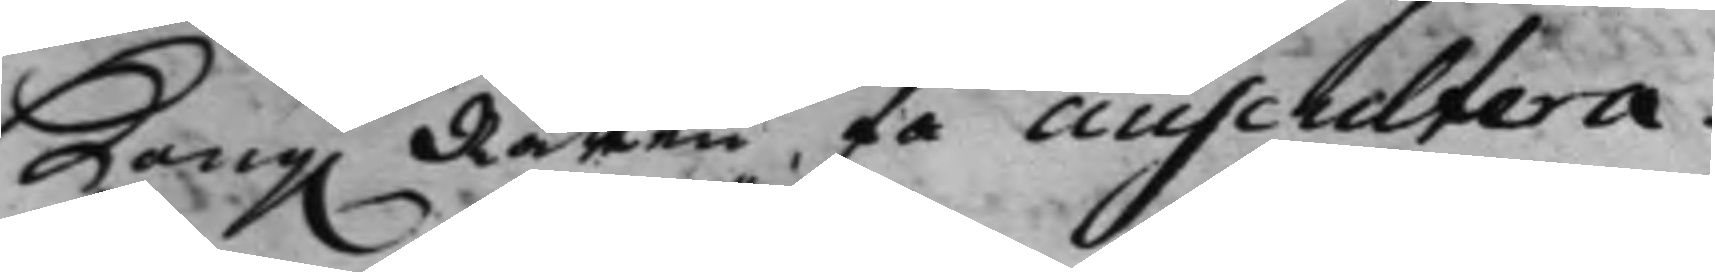Kong. Rätten få auscultera. 
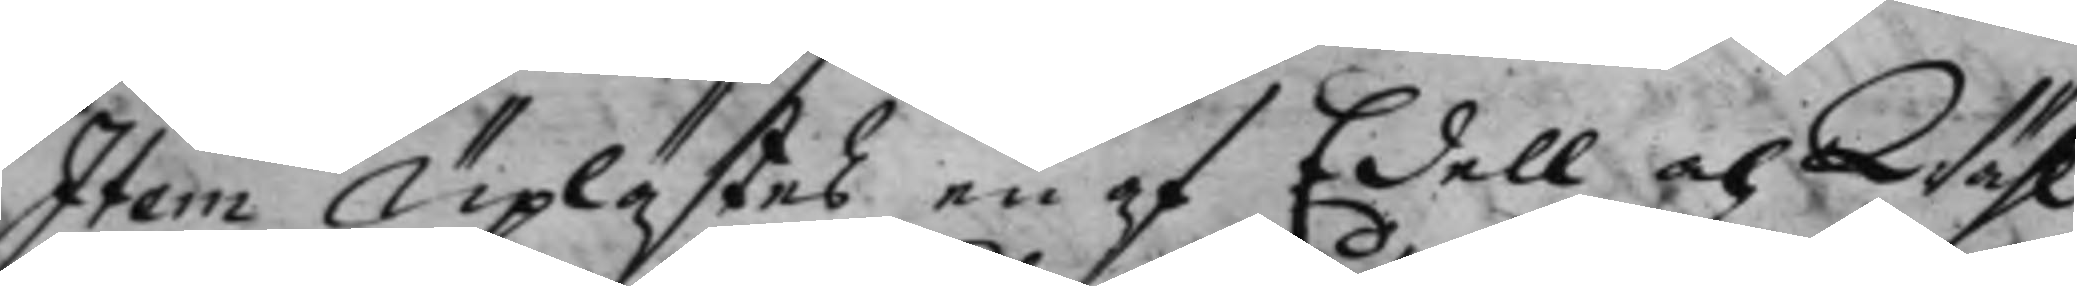Item Uplästes en af Edell och Wähl¬
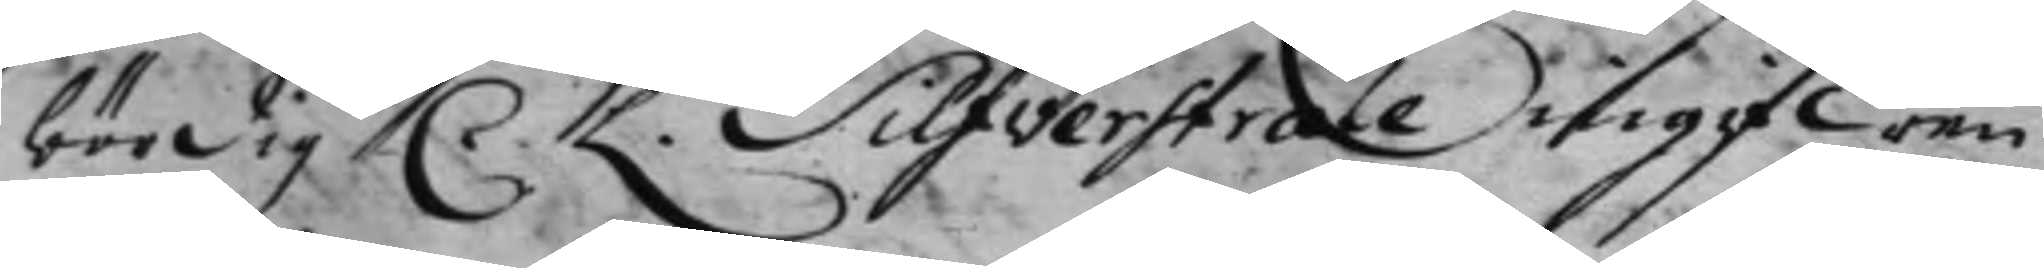bördig C. L. Silfverstråle ingifwen
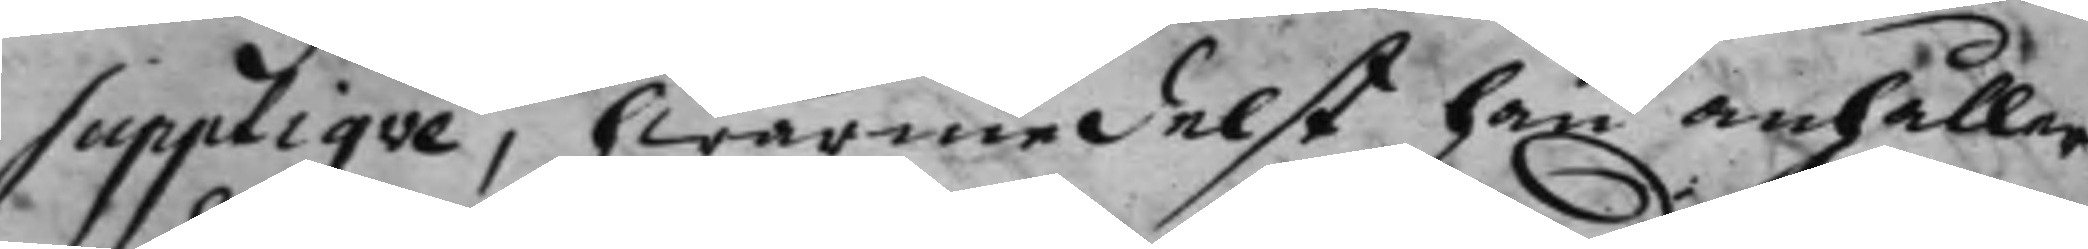Suppliqve, hwarmedelst han anhåller
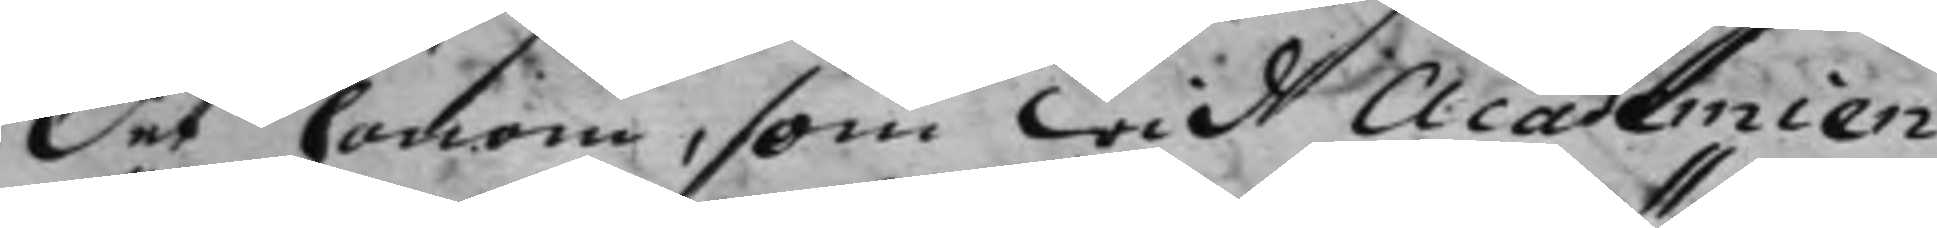det honom, som wid Academien
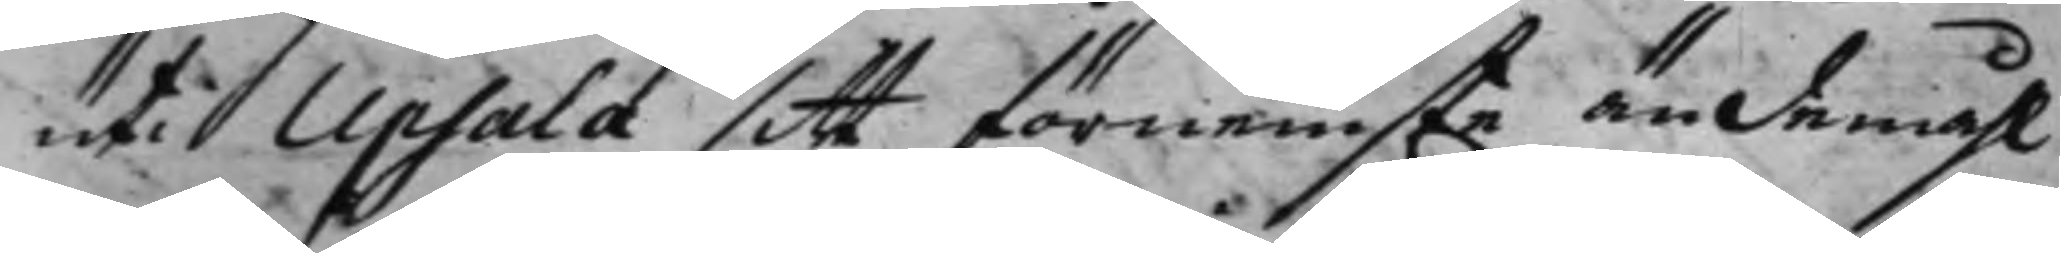uti Upsala sitt förnemste ändemåhl
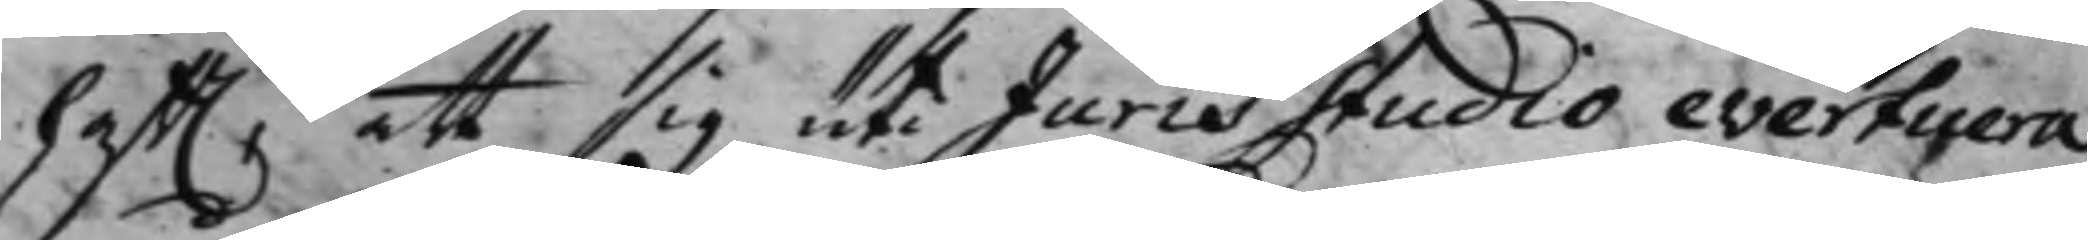hafft. att sig uti Juris studio evertuera
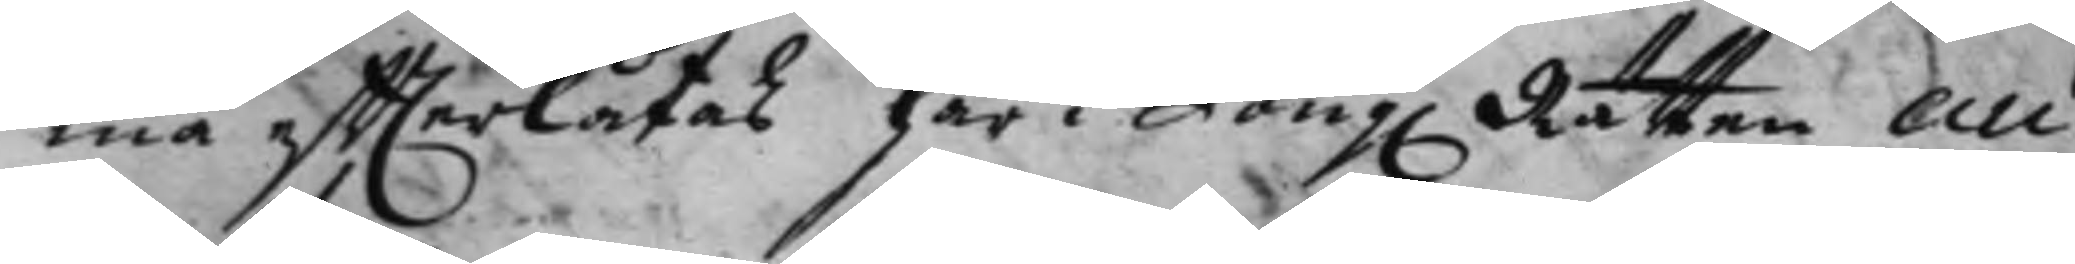ma effterlåtas här i Kong. Rätten au¬
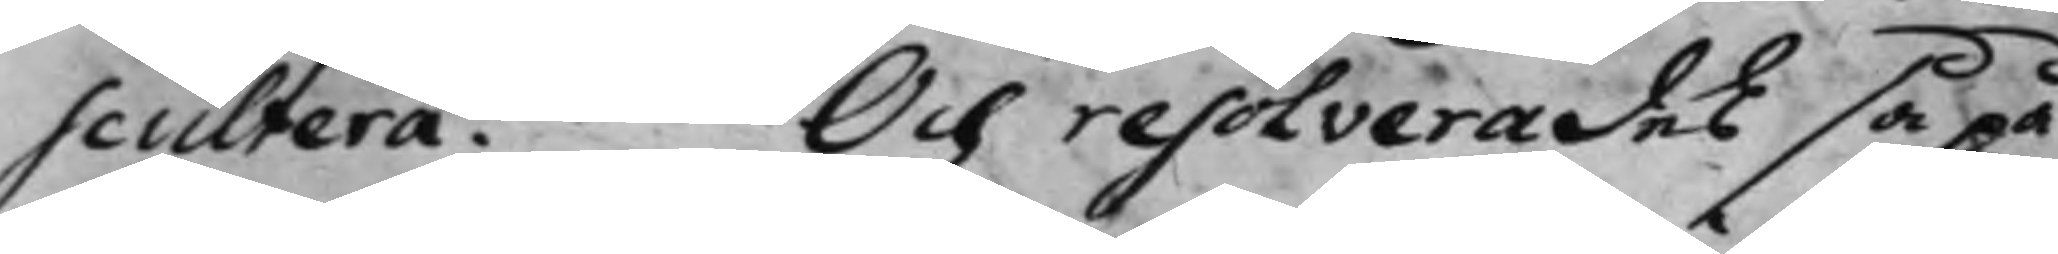scultera. Och resolverades så på
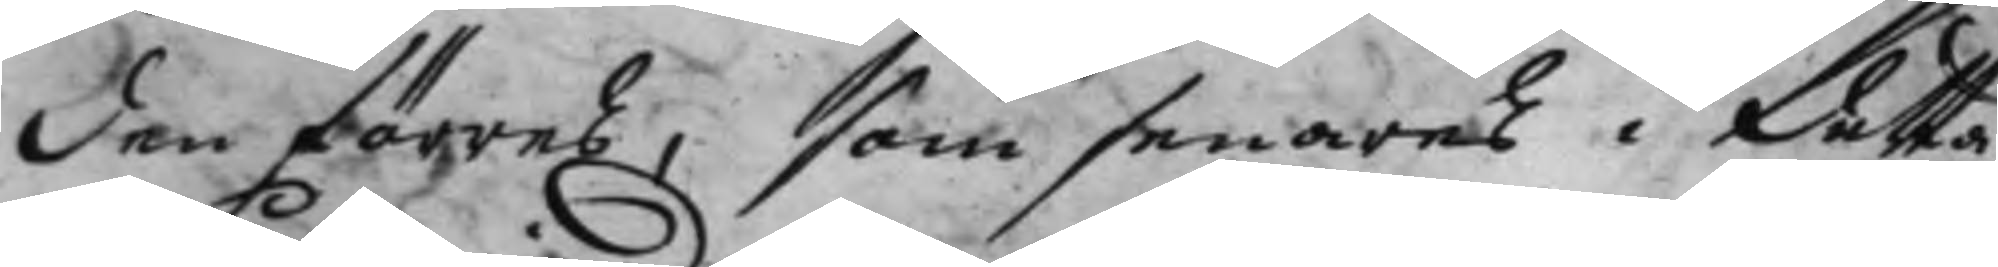den förres, som senares i detta 
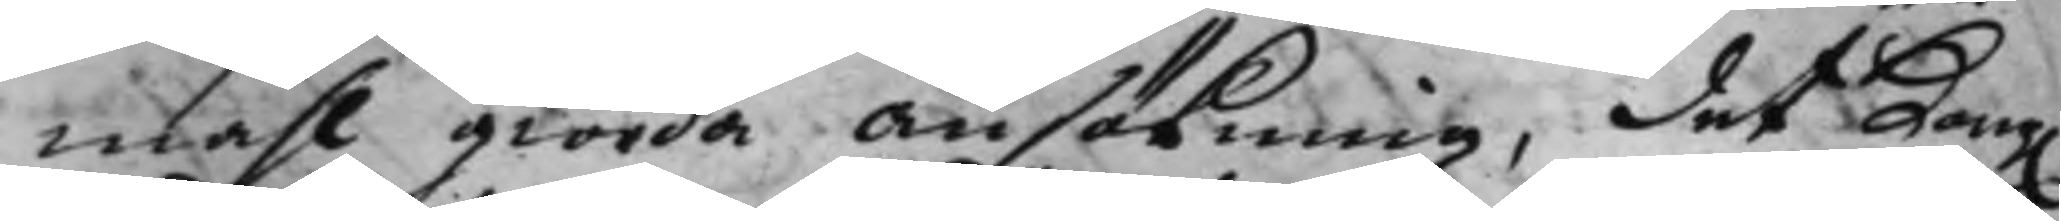måhl giorda ansökning, det Kong. 
